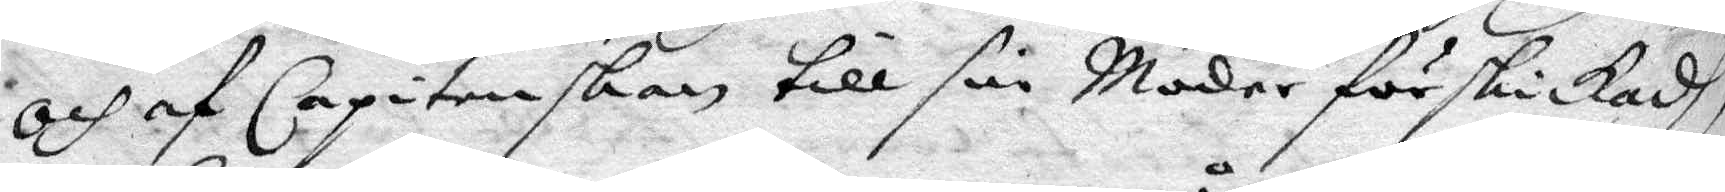och af Capitenskan till sin Moder förskickadh,
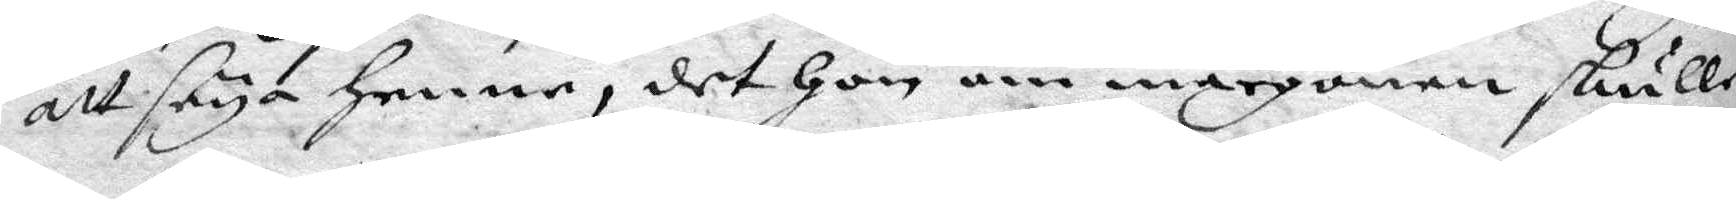att seya Henne, det Hon om mårgonen skulle
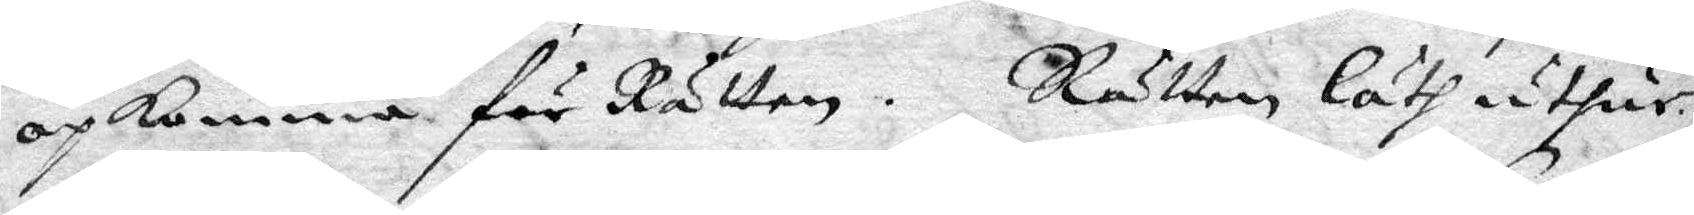opkomma för Rätten. Rätten läth uthur
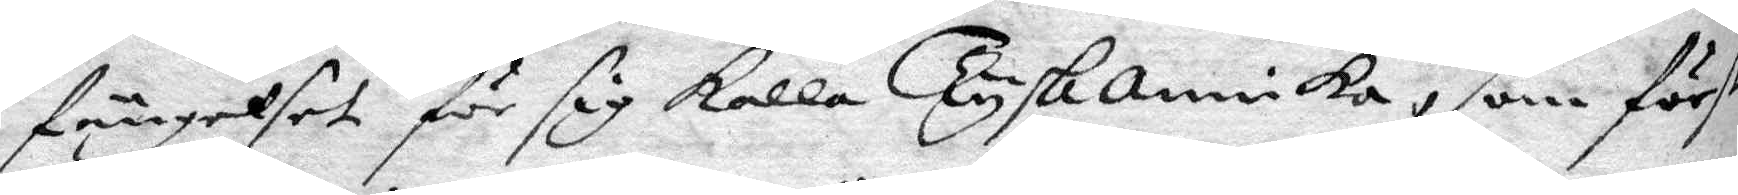fängelset för sig kalla Tysk annika, som först
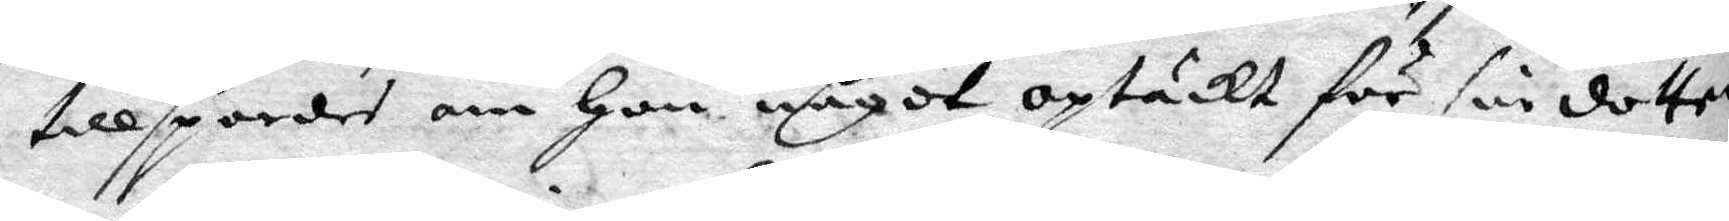tillspordes om Hon något optäckt för sin dotter
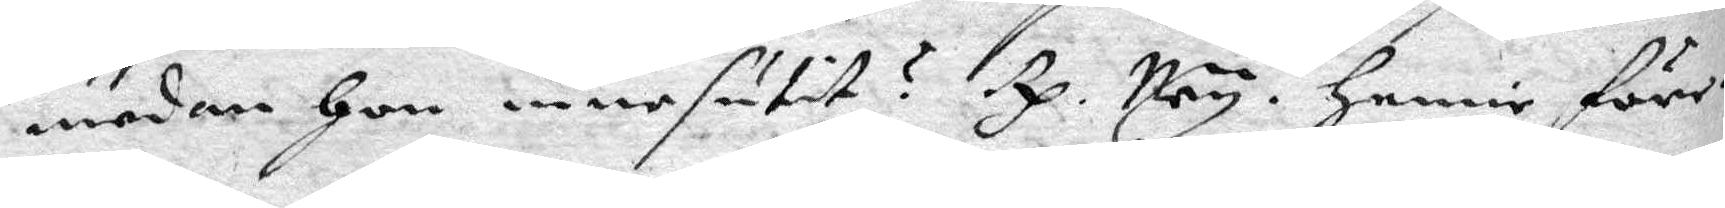Emedan Hon innesutit? Rp. Ney. Henne för
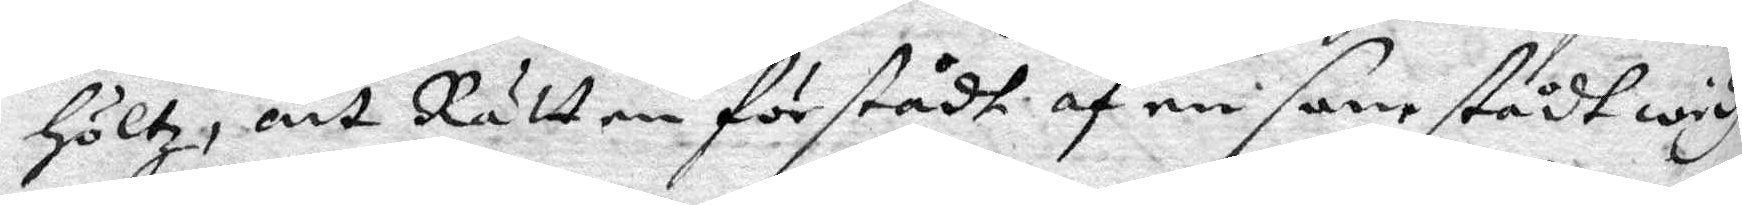höltz, att Rätten förstådhe af en samstådt widh
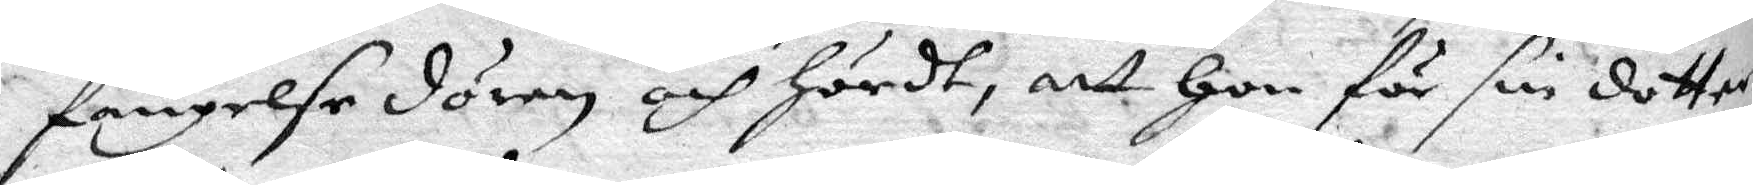fängelse dören och hördt, att Hon för sin dotter
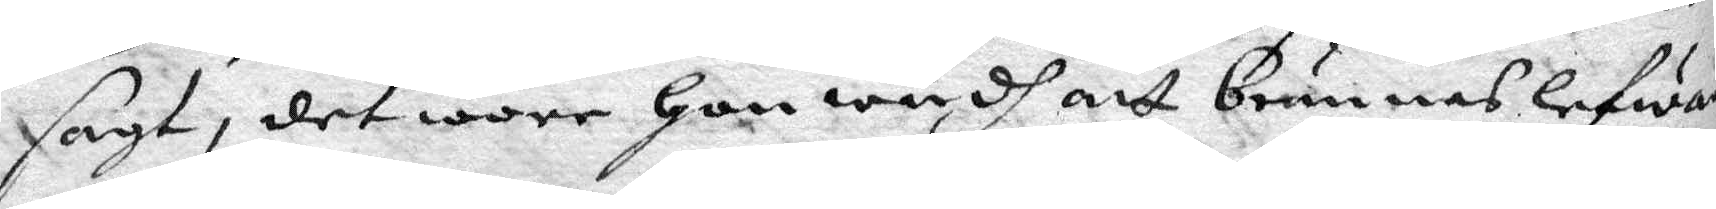sagt, det wore Hon wydh att brännas lefwa
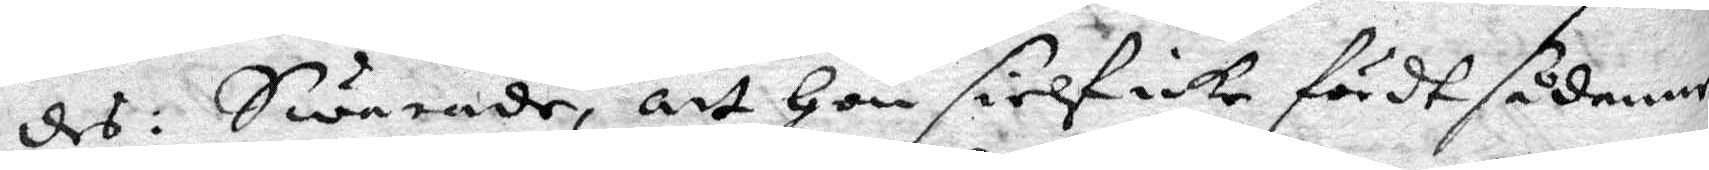des: Swarade, att Hon sielf icke fördt sådan
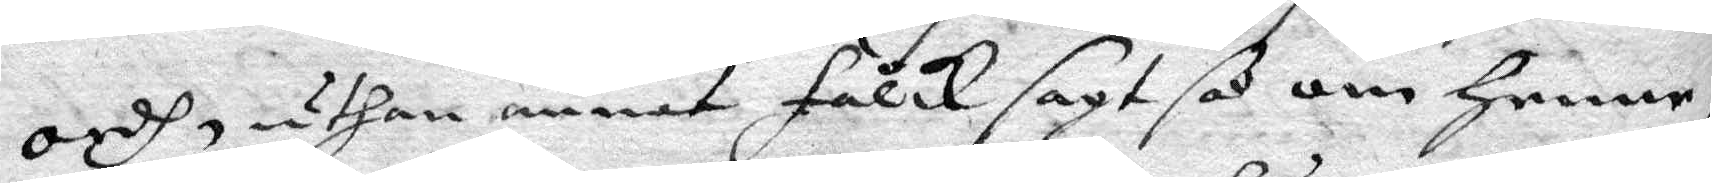ordh, uthan annat Falck sagt så om Henne
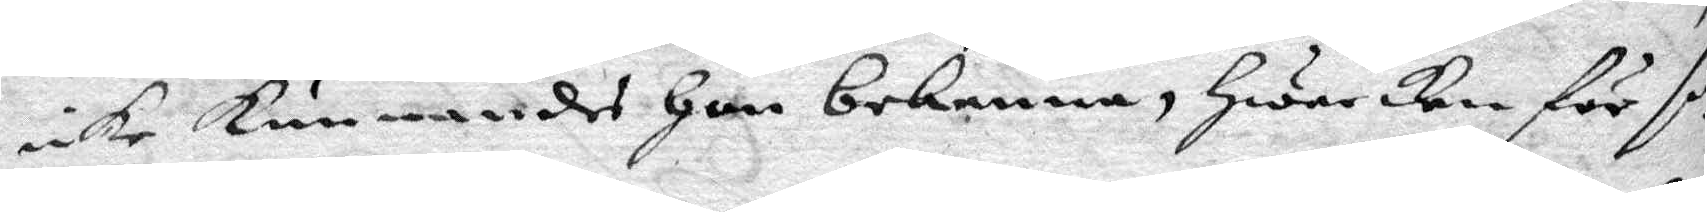icke kunna des Hon bekenna, Hwarken för så
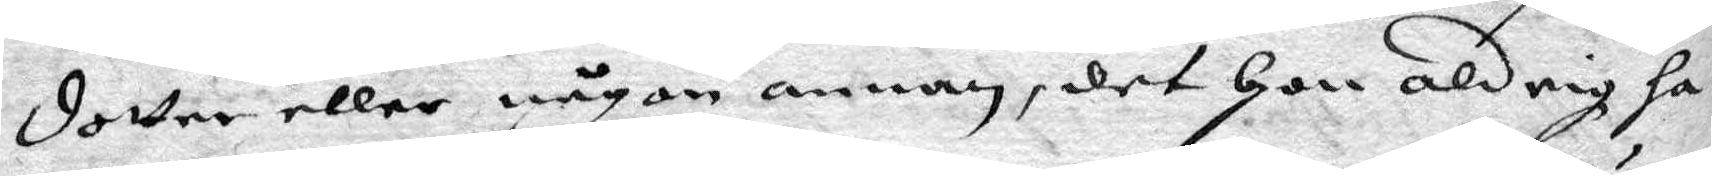dotter eller någon annan, det Hon aldrig ha¬
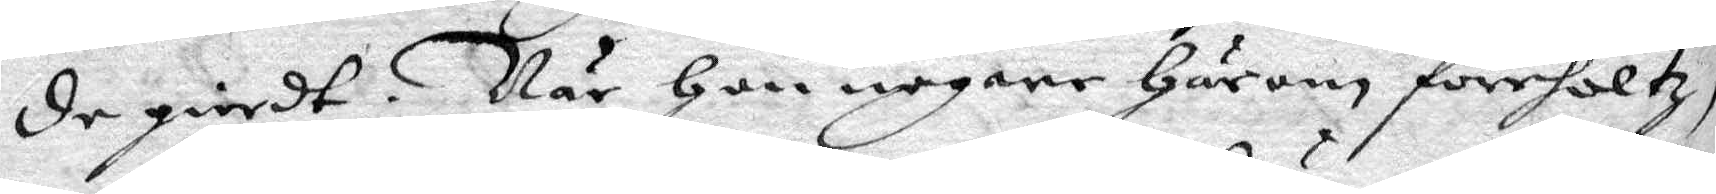de giordt. När hon nogare Härom förehöltz
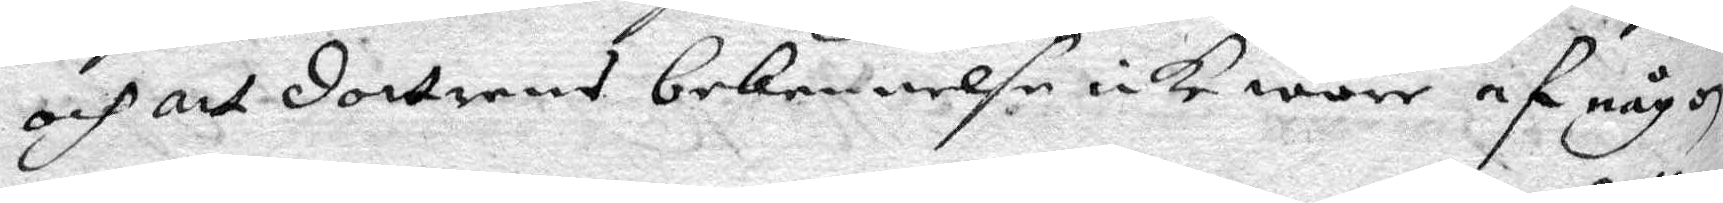och att dottrens bekennelse icke wore af någon
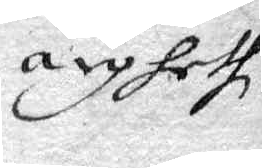ligheth
